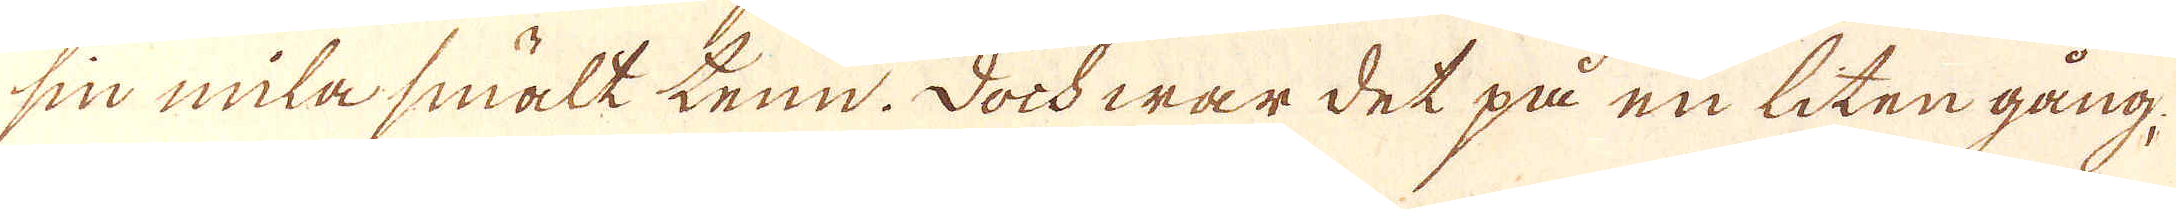sin mila smält tenn. Doch war det på en liten gång,
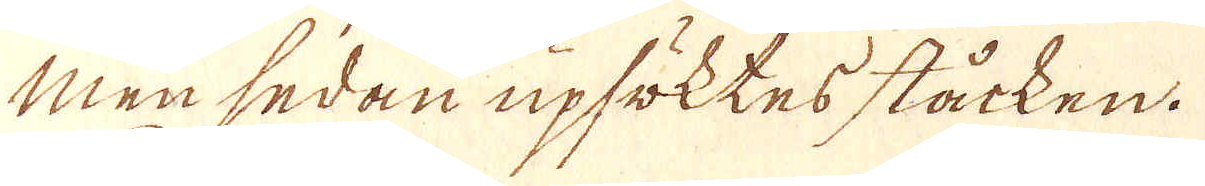men sedan upsöktes ståcken.
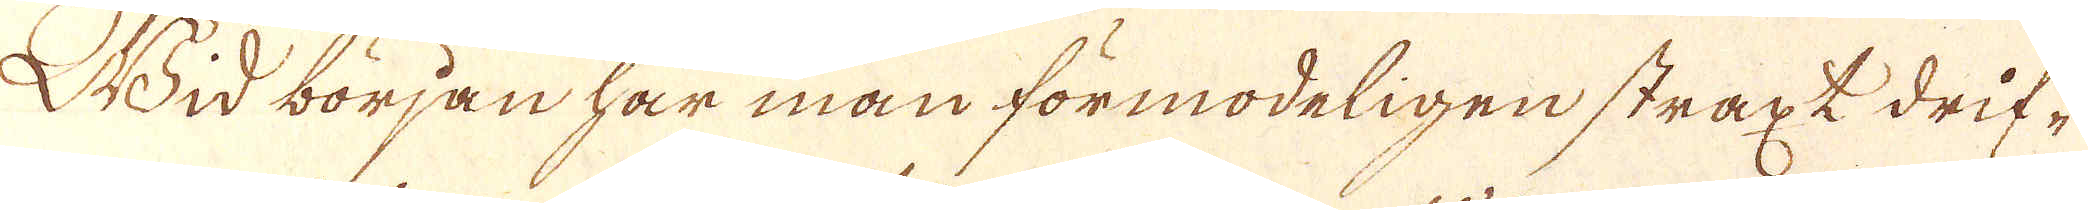Wid början har man förmodeligen straxt drif-
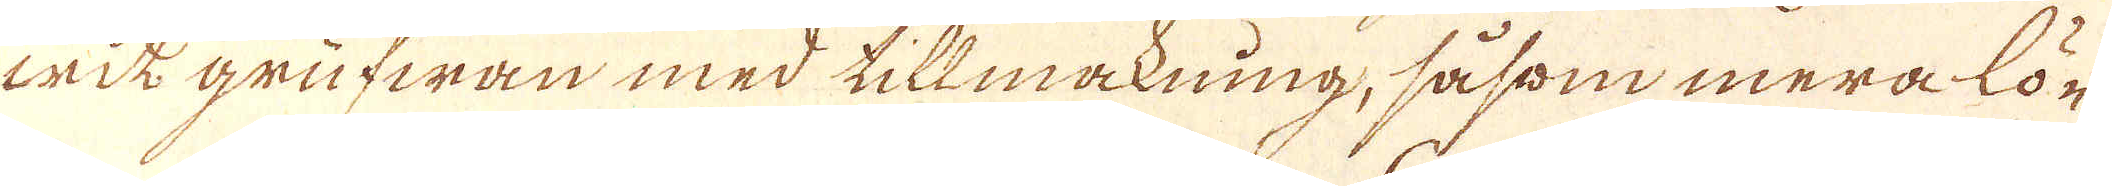wik grufwan med tillmakning, såsom mera lör
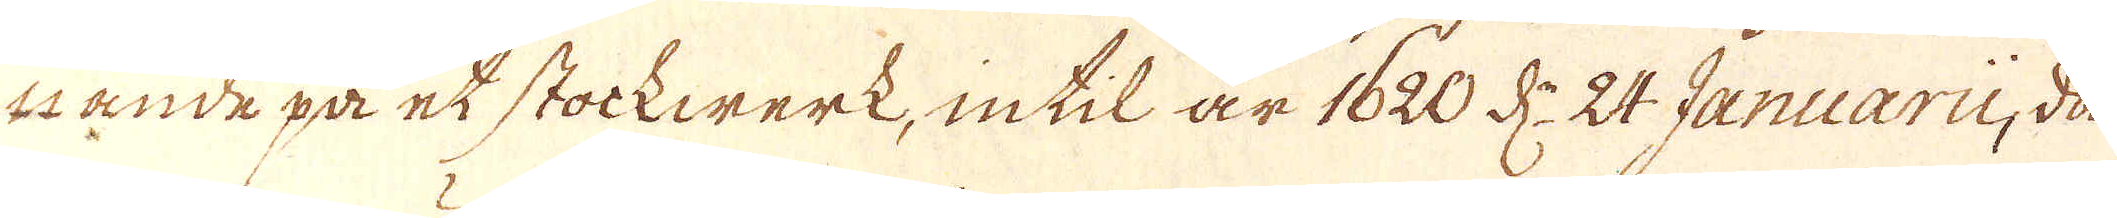tande på et stockwerk, intil är 1620 d:n 24 Januarii, då
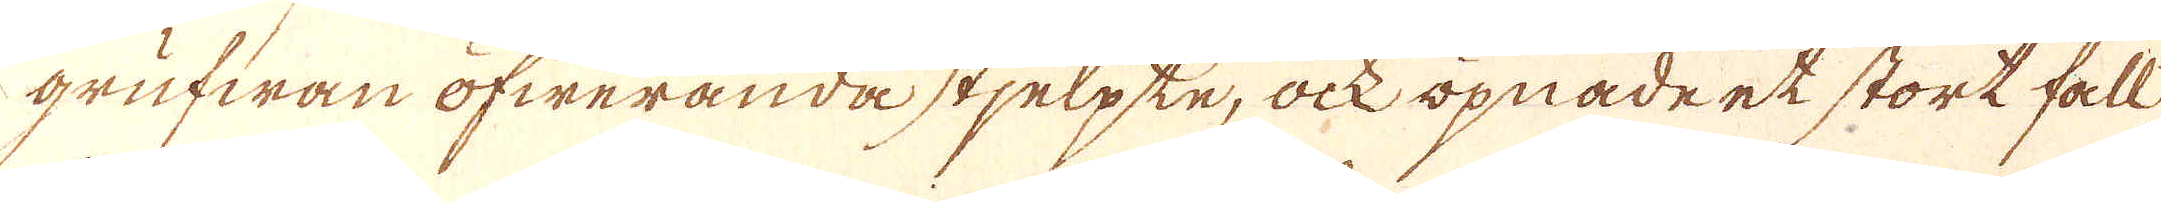grufwan öfweranda stjelpte, ock öpnade et stort fall
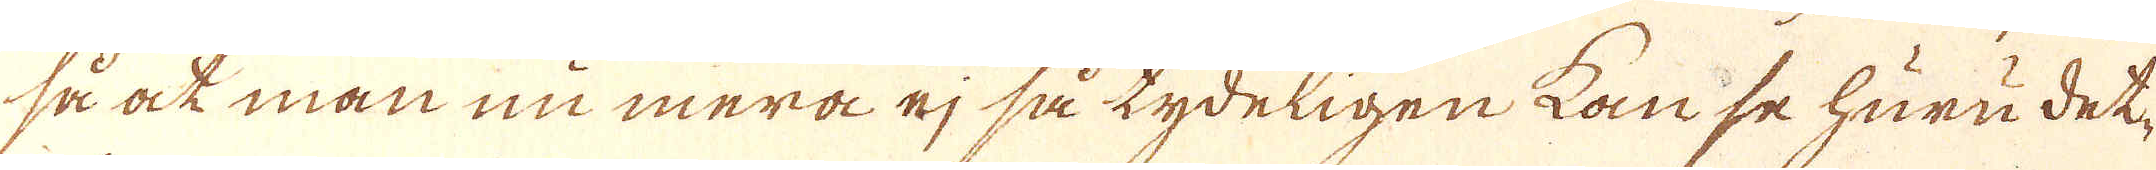så at man nu mera ej så tydeligen kan se huru det-
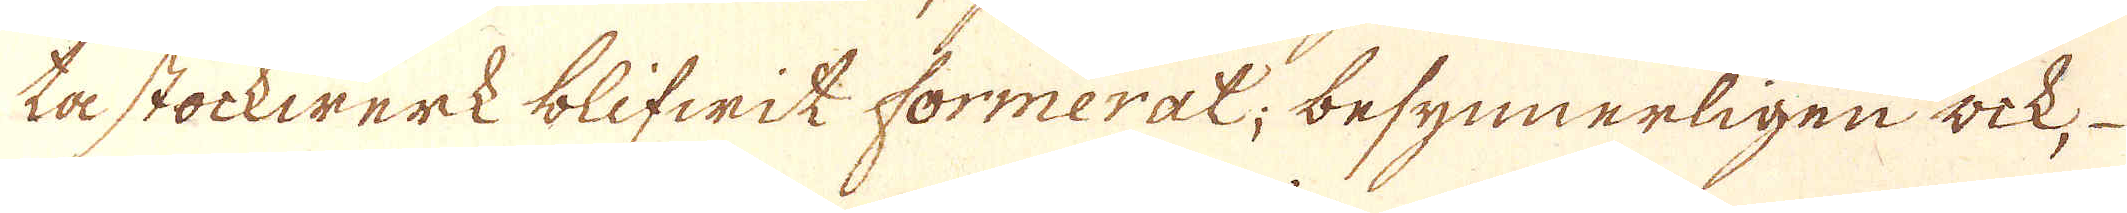ta stockwerk blifwit formerat; besynnerligen ock,
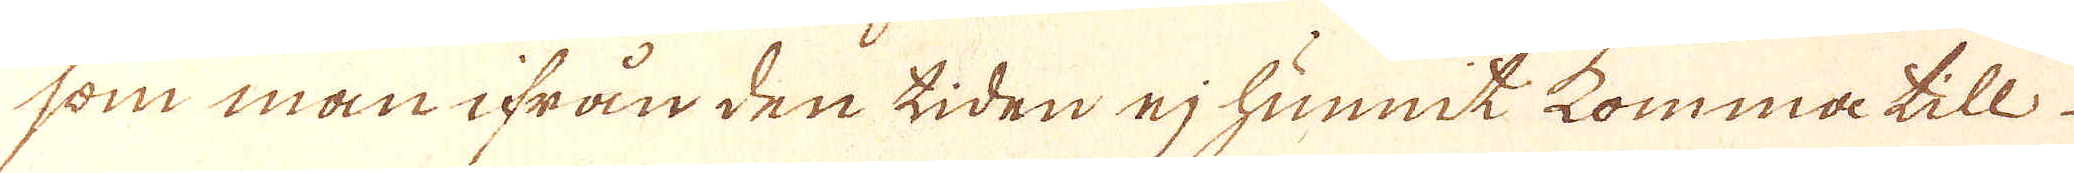som man ifrån den tiden ej hunnit komma till
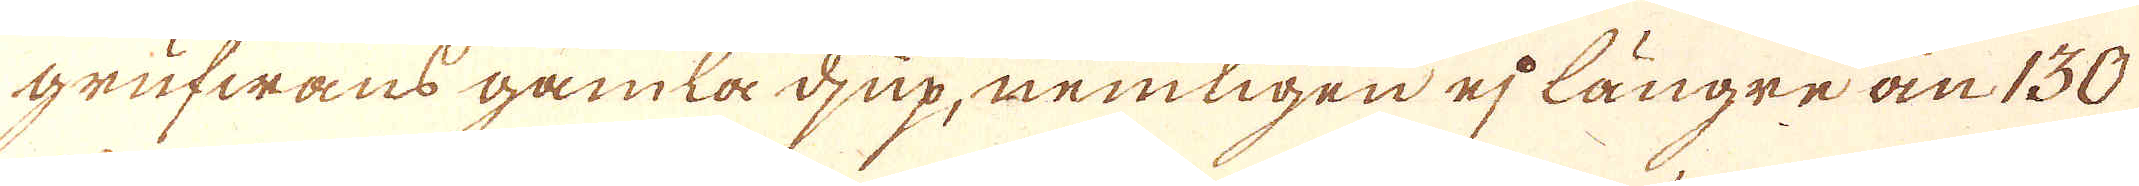Grufwans gamla djup, nemligen ej längre än 130
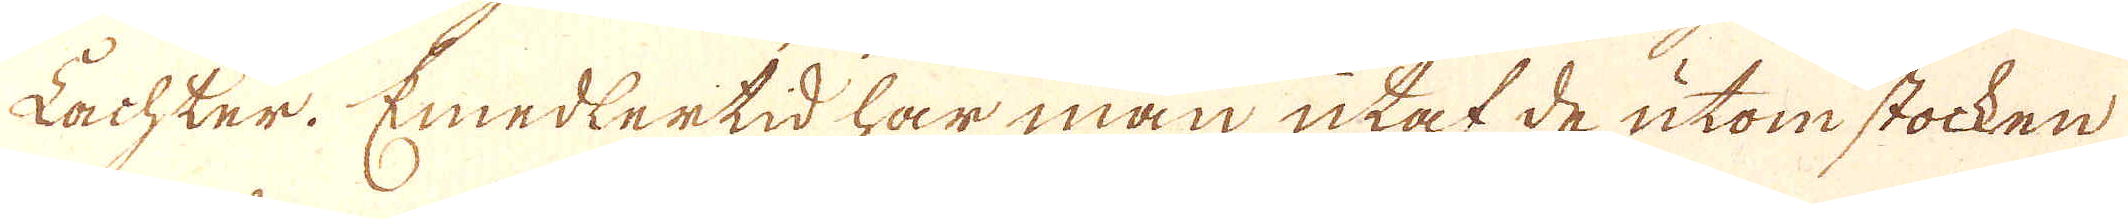Lachter. Emedlertid har man utaf de utom stocken
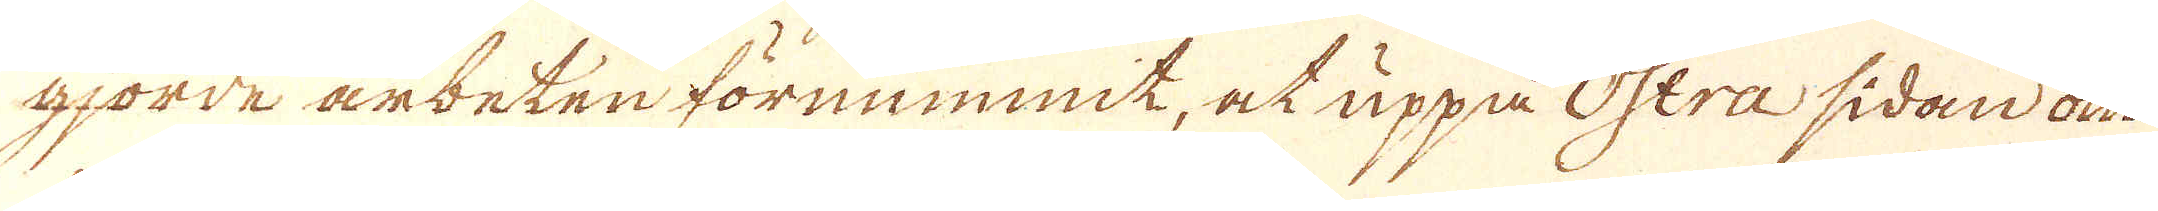gjorde arbeten förnummit, at uppå Ostra sidan om
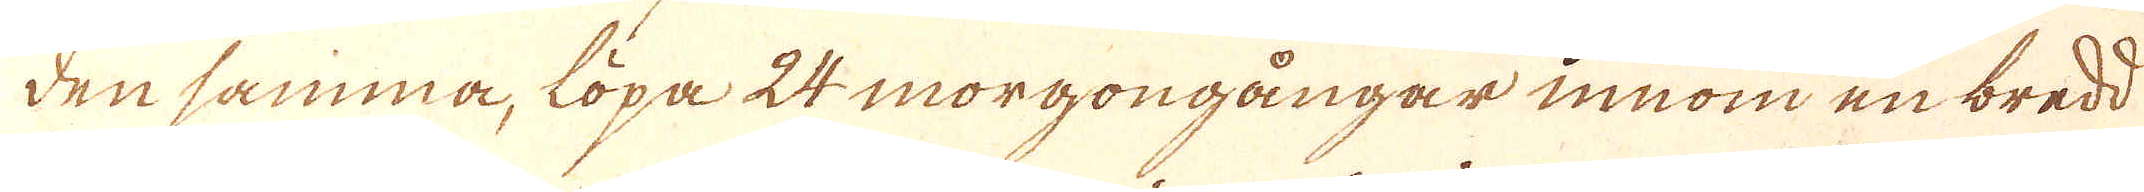densamma, löpa 24 morgongångar innom en bredd
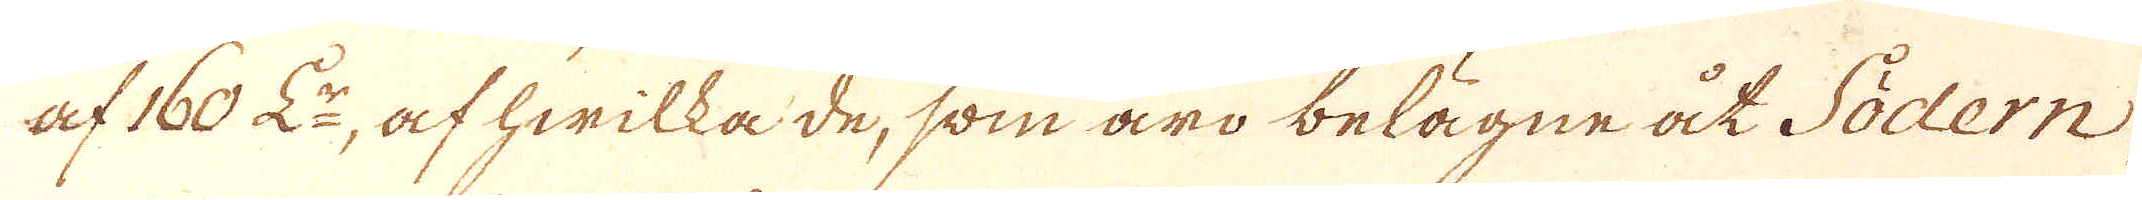af 160 L:r, af hwilka de, som äro belägne åt Södern,
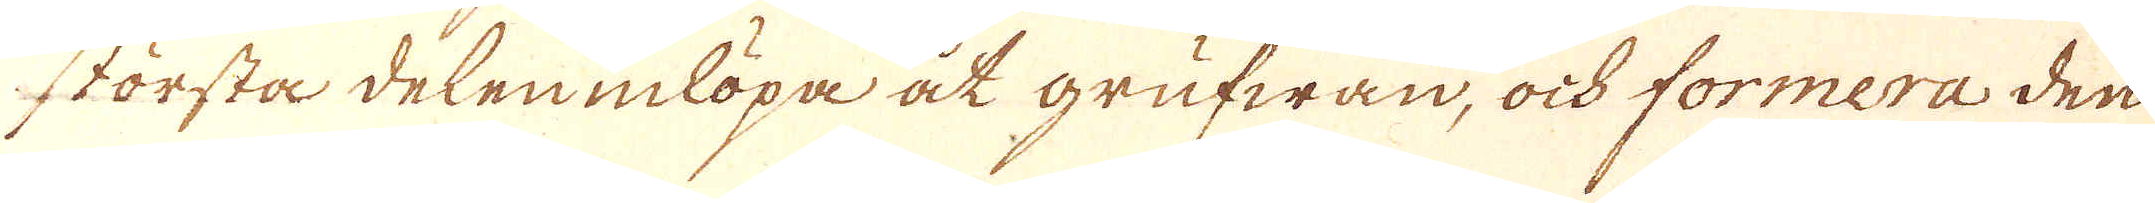störstå delen inlöpa at grufwan, ock formera den
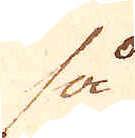så
